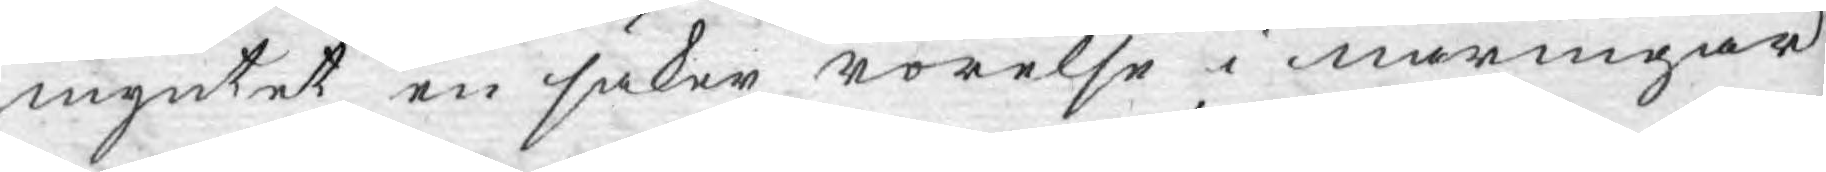myntet en säker rörelse i näringar
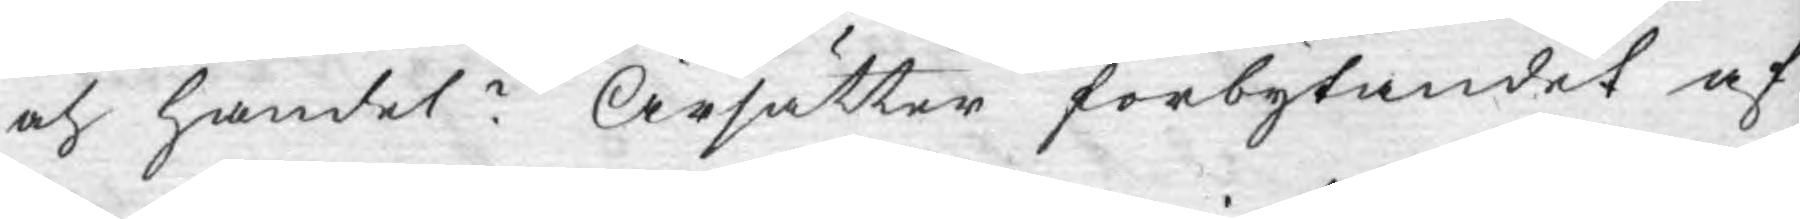och handel? Ärsätter förbytandet af
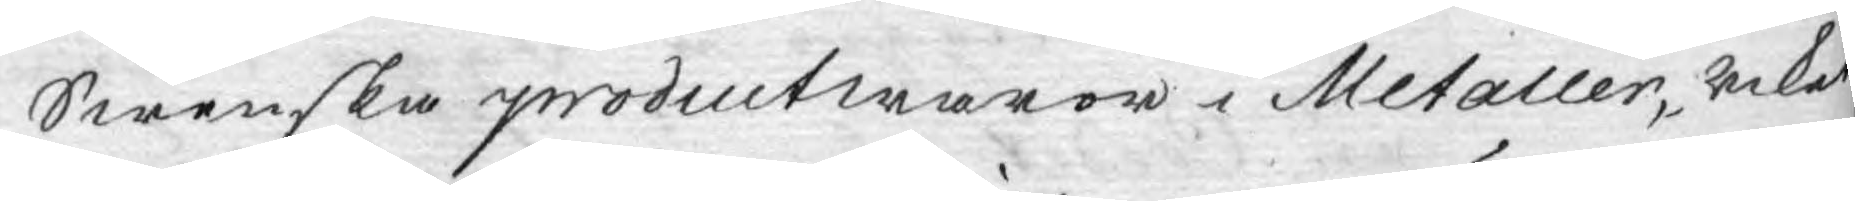Swenska productwaror i Metaller, riket
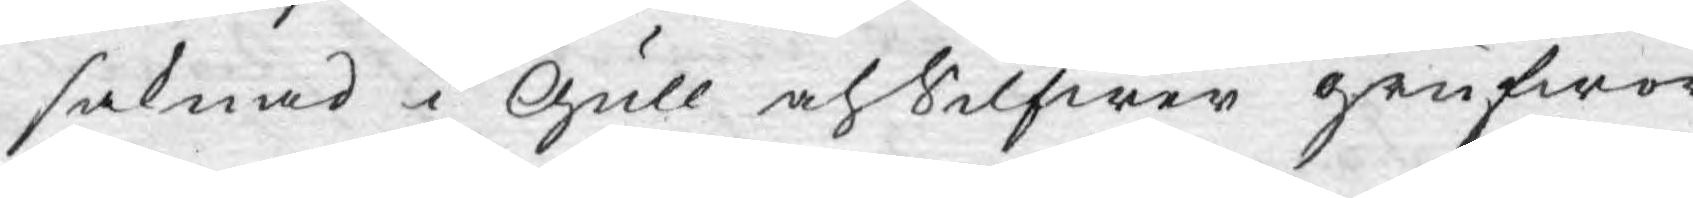saknad i Gull och Silfwer grufwor?
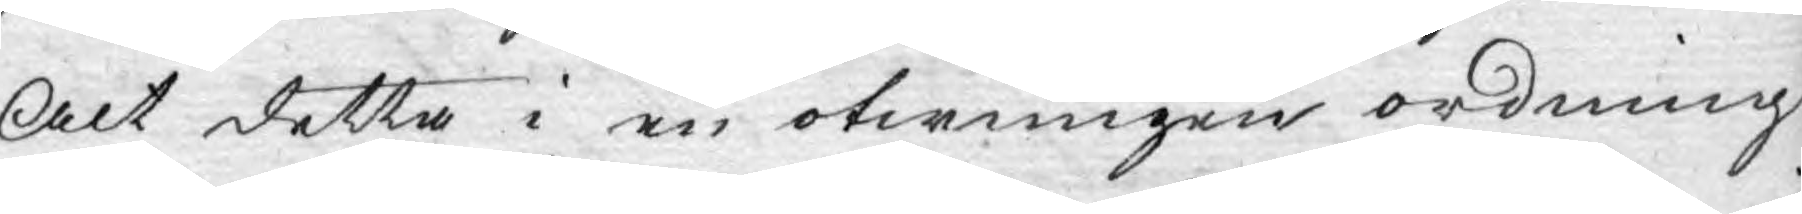Alt detta i en otwungen ordning
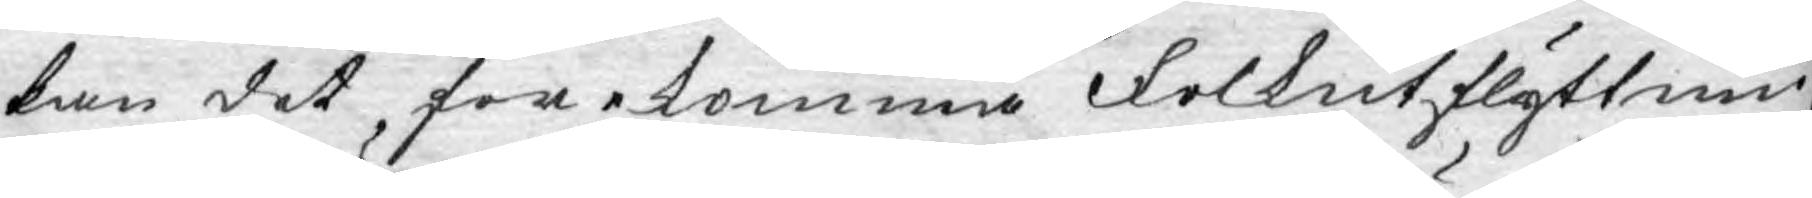kan det, förekomma Folkutflyttnin¬
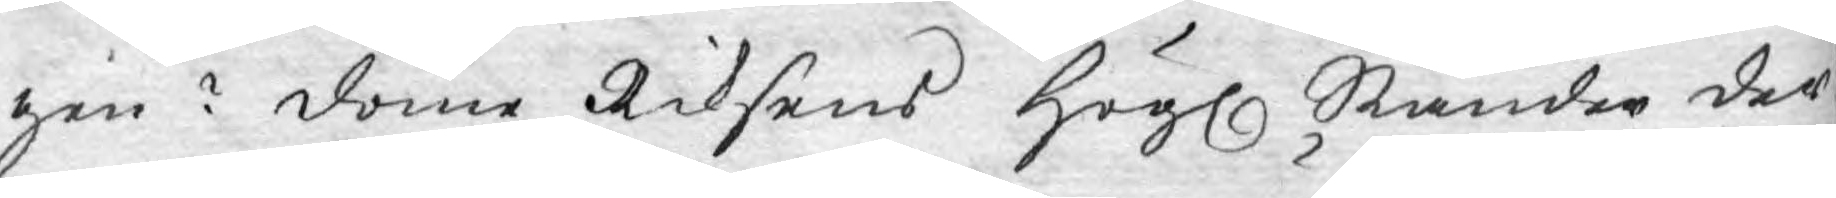gen? döme Riksens Högl. Ständer der¬
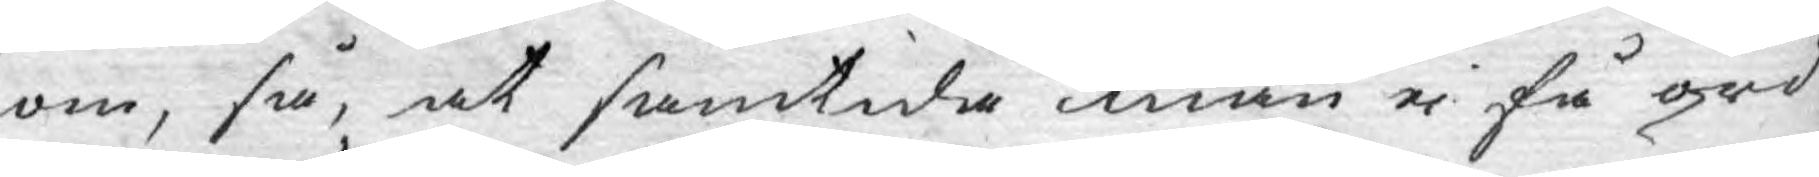om, så, at samtida män ej få ord¬
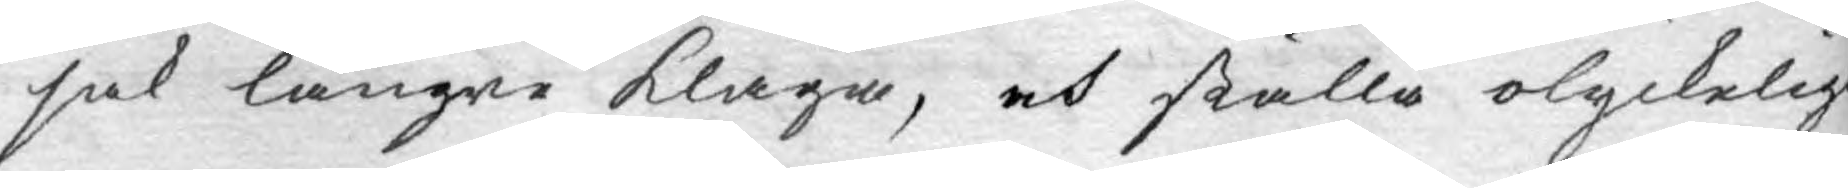sak längre klaga, och ställa olyckelig
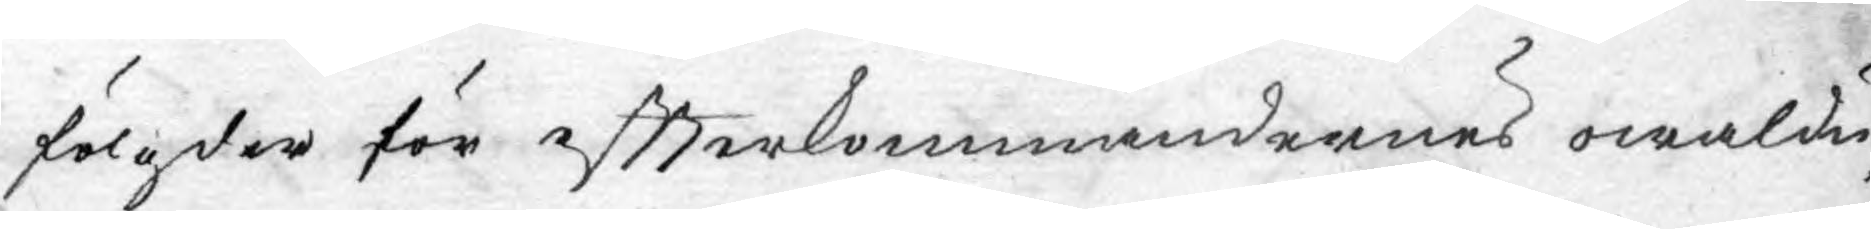fölgder för eftterkommandernes owaldu¬
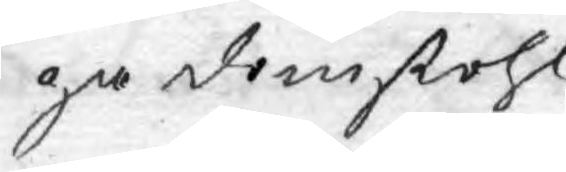ga domstohl.
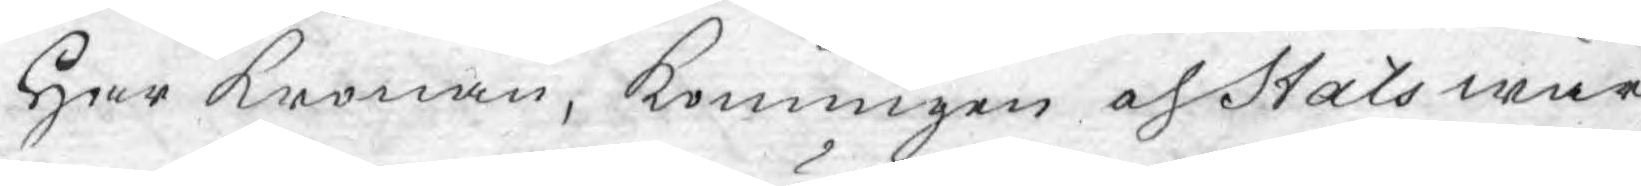Har Kronan, Konungen och Stats wär¬
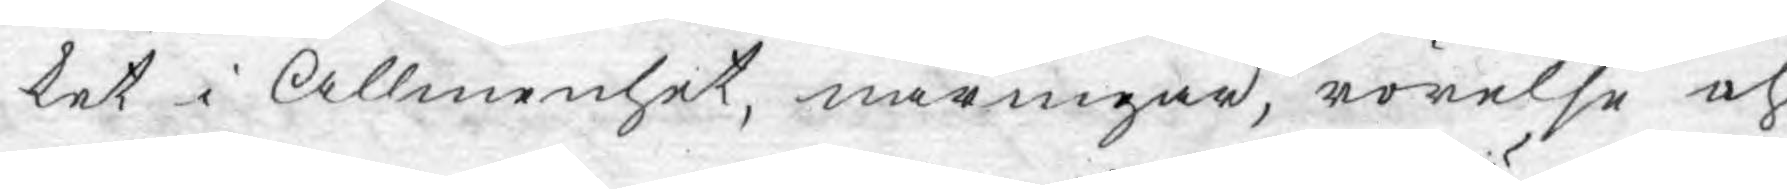ket i Allmenhet, näringar, rörelse och
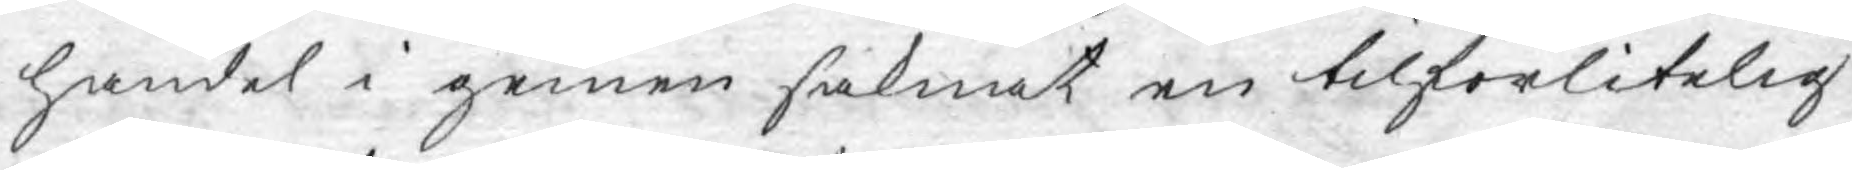handel i gemen saknat en tilförlitelig
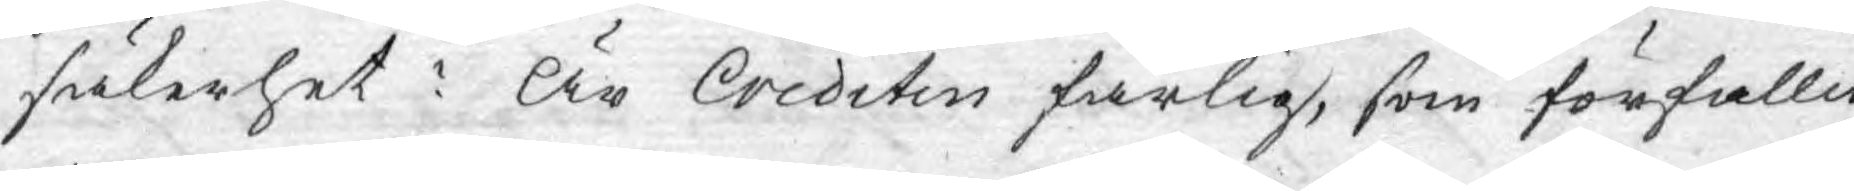säkerhet: Är Crediten farlig, som förfallit
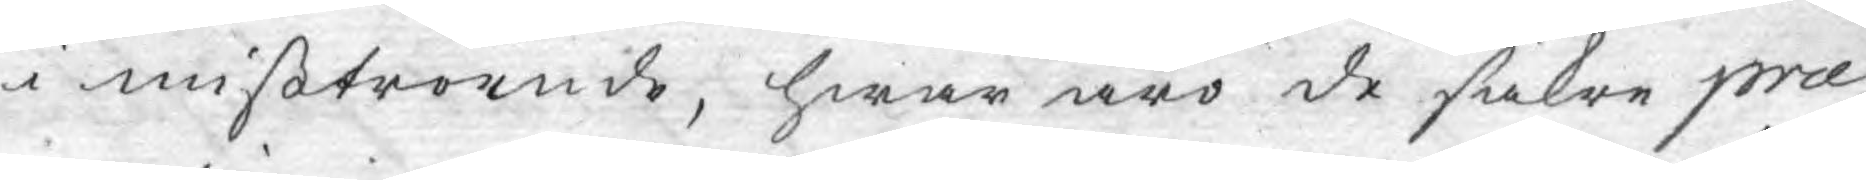i mißtroende, hwar äro de säkre præ¬
